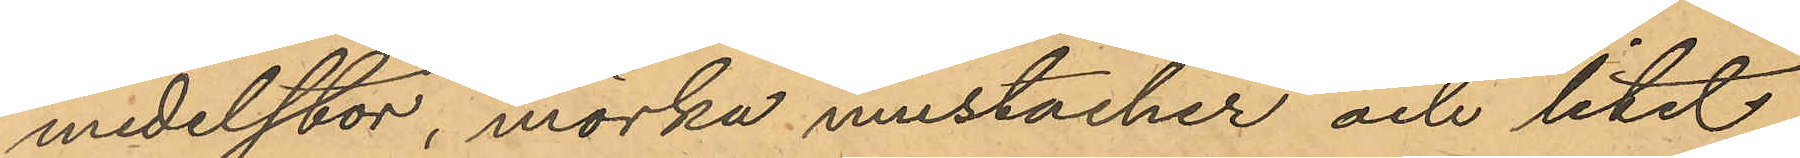medelstor, mörka mustacher och litet
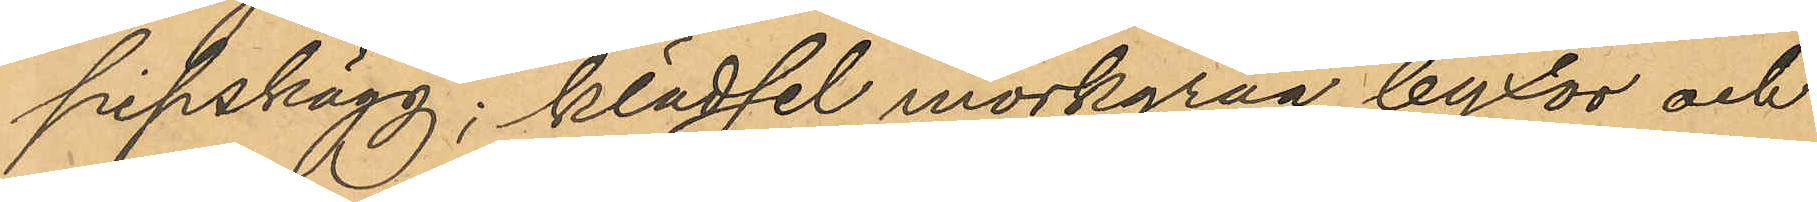pipskägg; klädsel mörkgråa byxor och
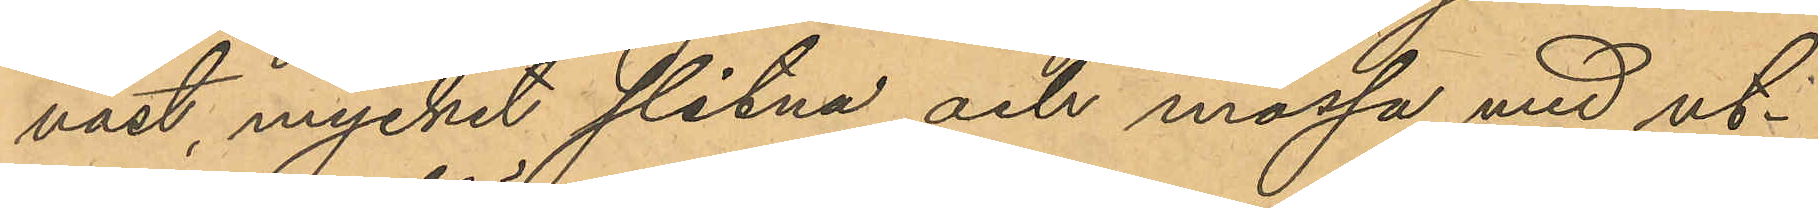väst, mycket slitna, och mössa med ut¬
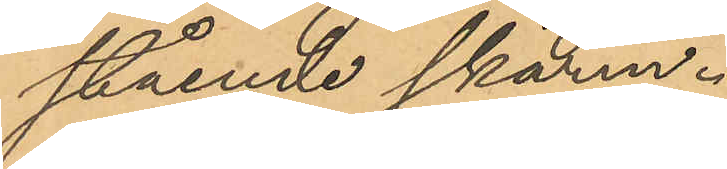stående skärm.
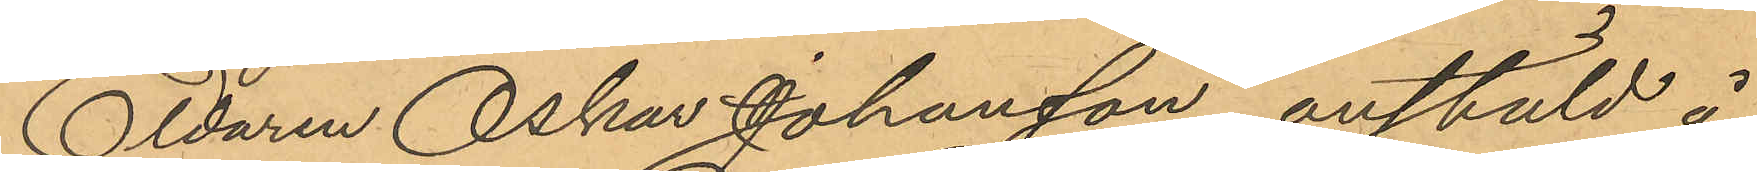Eldaren Oskar Johansson, anstäld å
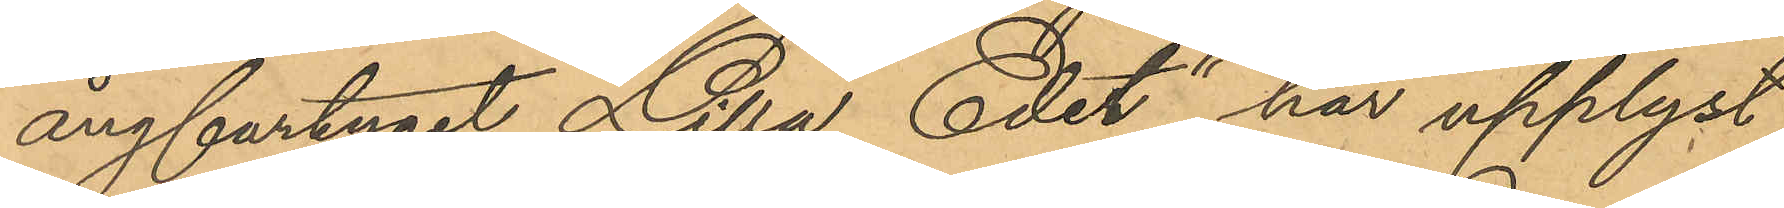ångfartyget "Lilla Edet" har upplyst
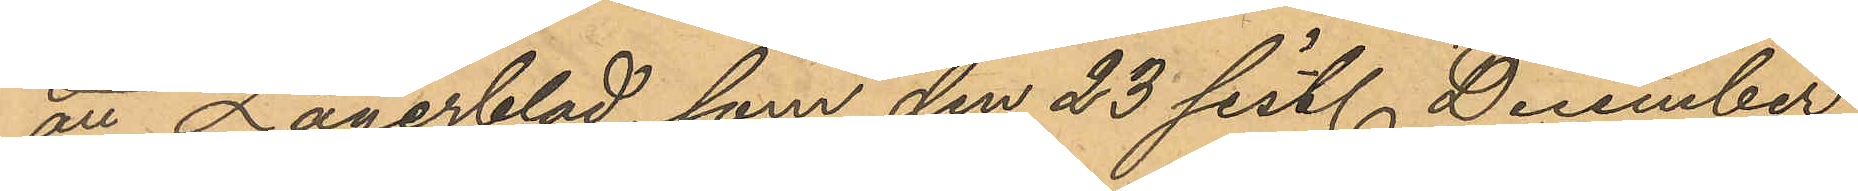att Lagerblad, som den 23 sist. December
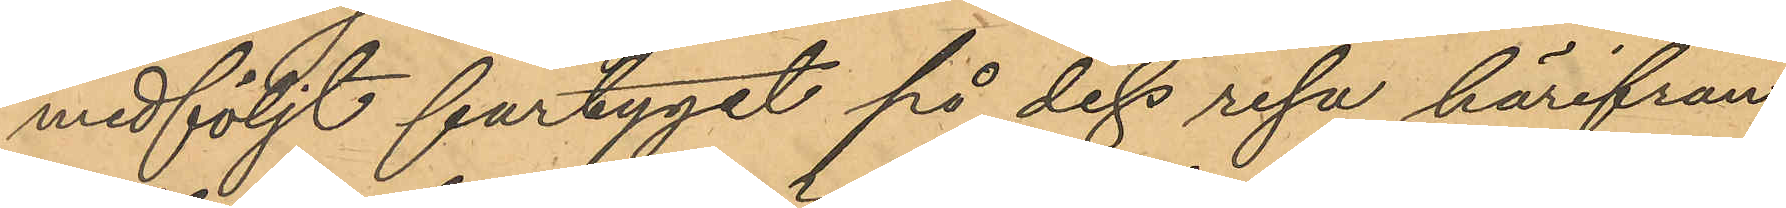medföljt fartyget på dess resa härifrån
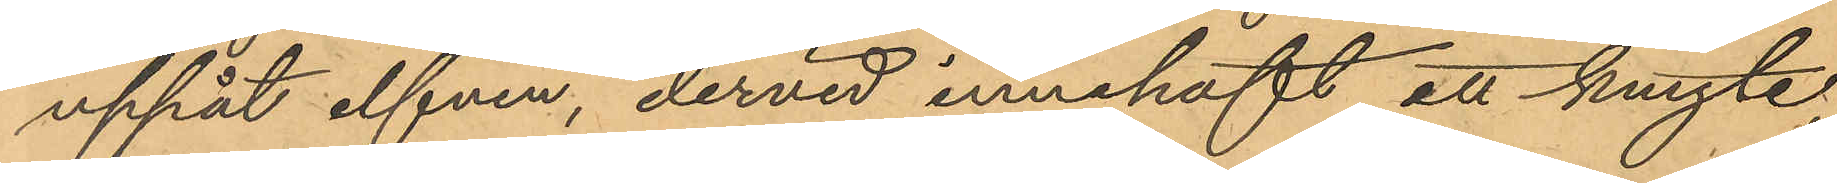uppåt elfven, dervid innehaft ett knyte
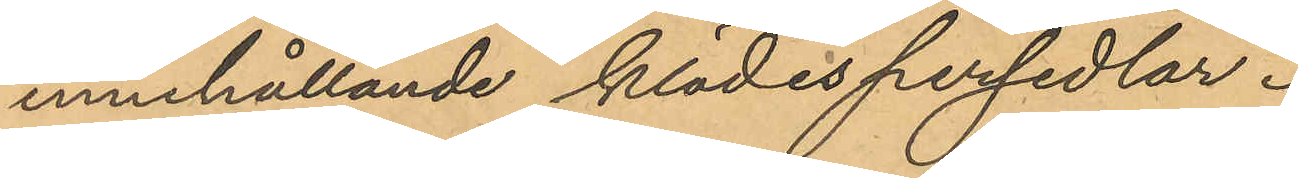innehållande klädespersedlar.
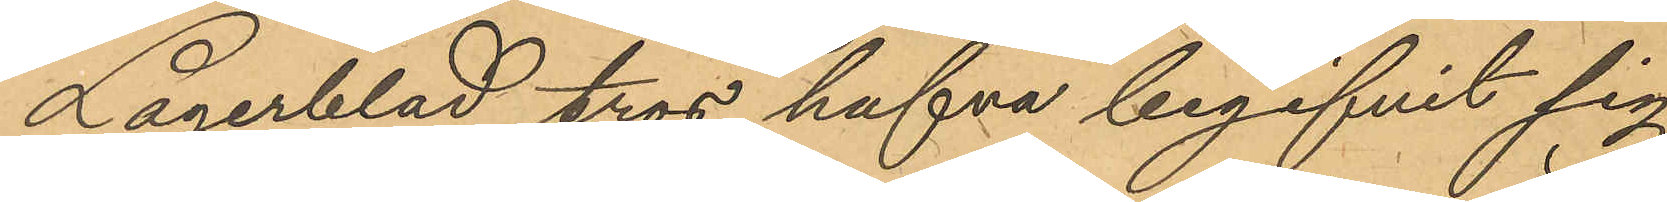Lagerblad tros hafva begifvit sig
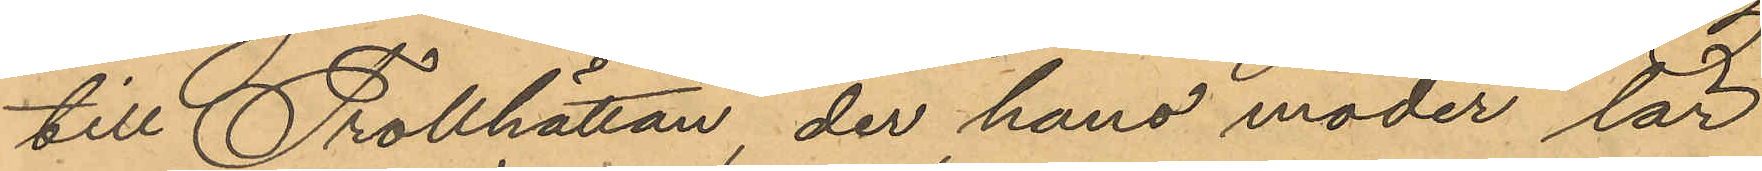till Trollhättan, der hans moder lär
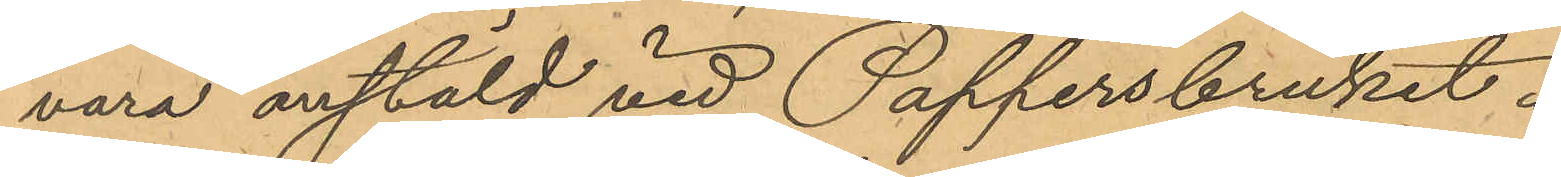vara anstäld vid Pappersbruket.
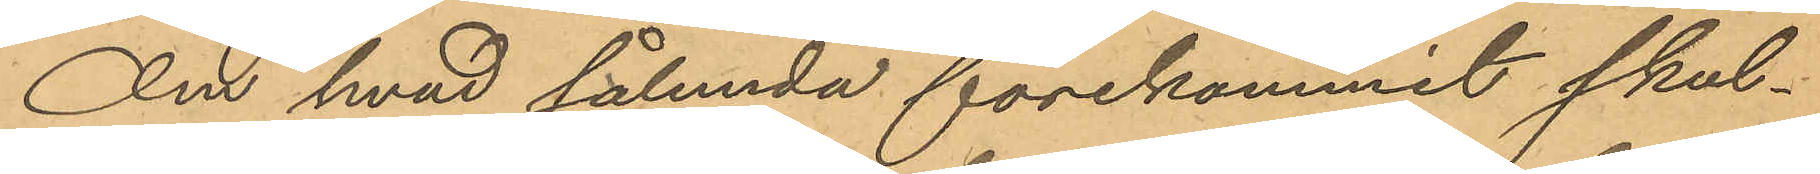Om hvad sålunda förekommit skul¬
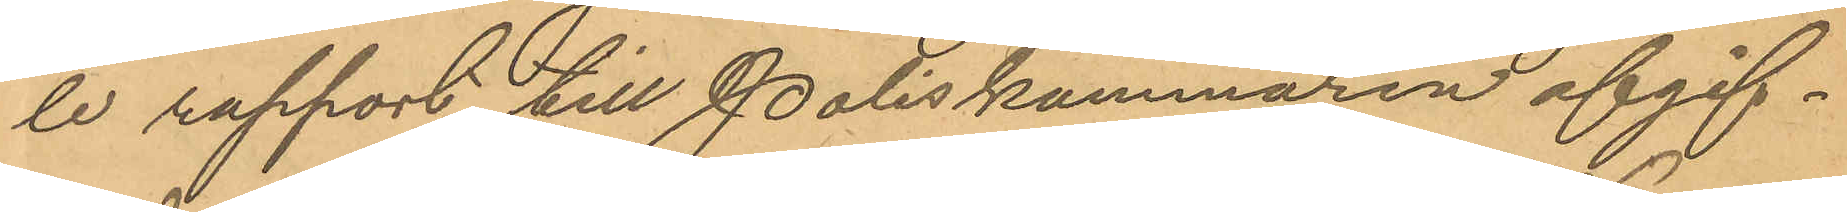le rapport till Poliskammaren afgif¬
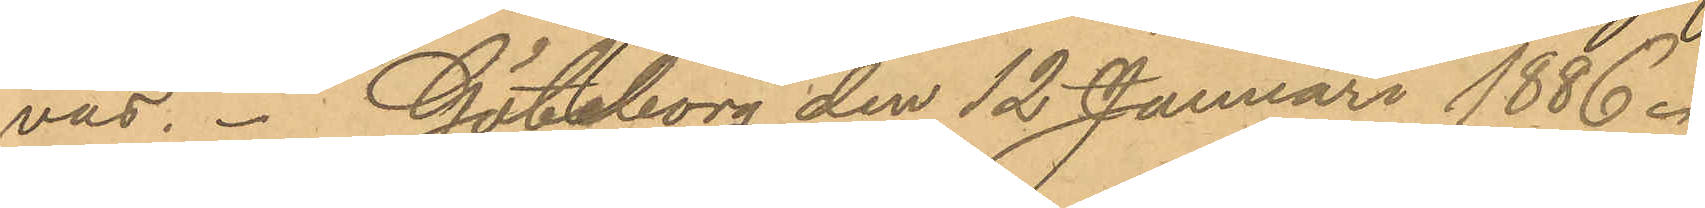vas. Göteborg den 12 Januari 1886.
